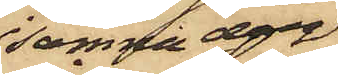samma dag
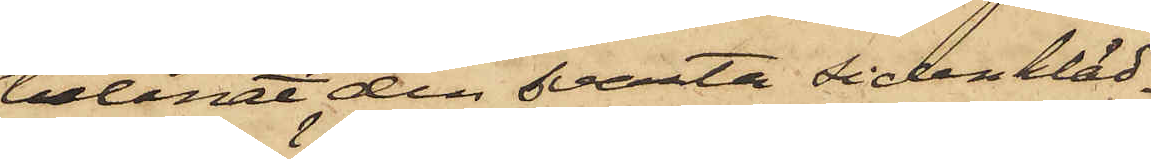belånat den svarta sidenkläd¬
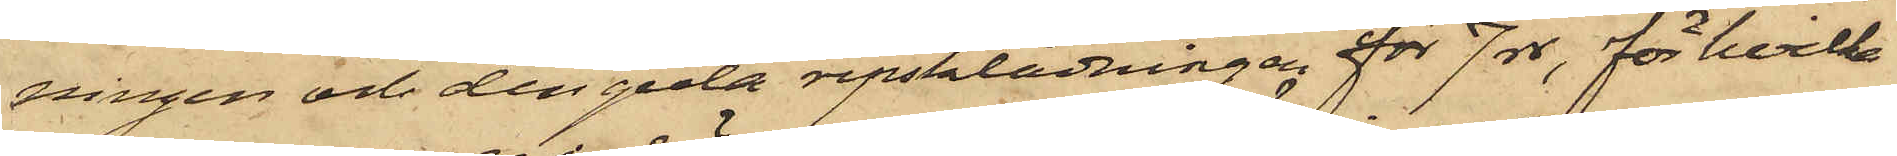ningen och den gula ripsklädningen för 7 rdr, för hvilka
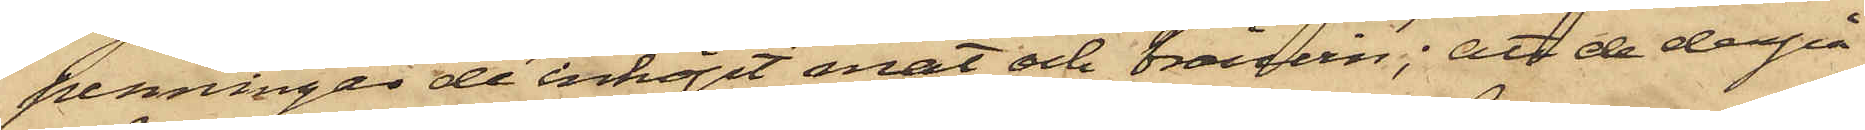penningar de inköpt mat och bränvin; att de derpå¬
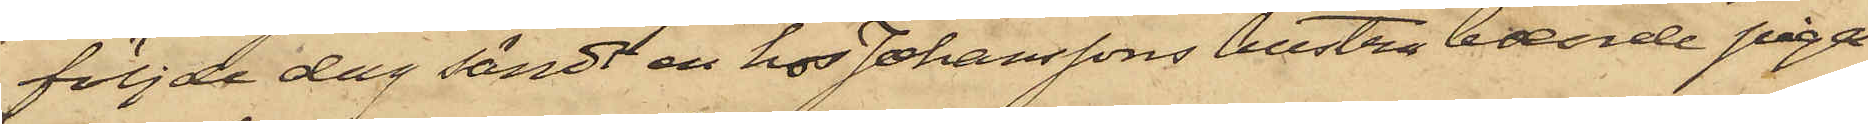följde dag sändt en hos Johanssons hustru boende piga
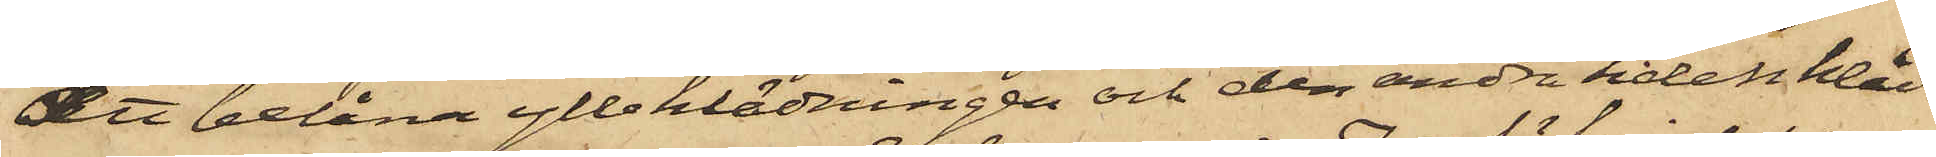att belåna ylleklädningen och den andra sidenkläd¬
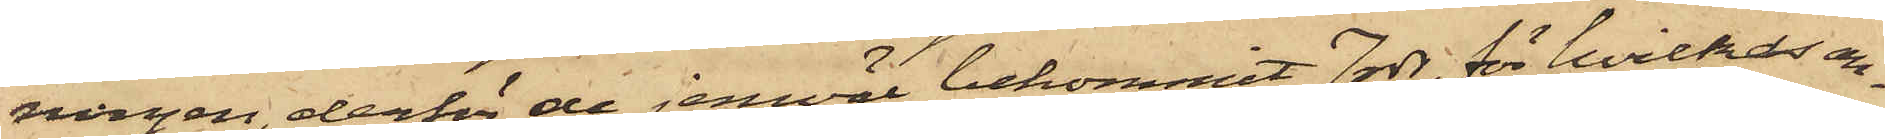ningen, derför de jemväl bekommit 7 rdr, för hvilkas an¬
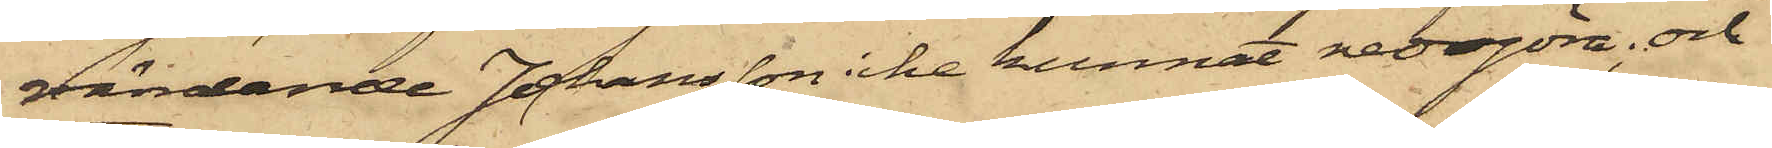vändande Johansson icke kunnat redogöra; och
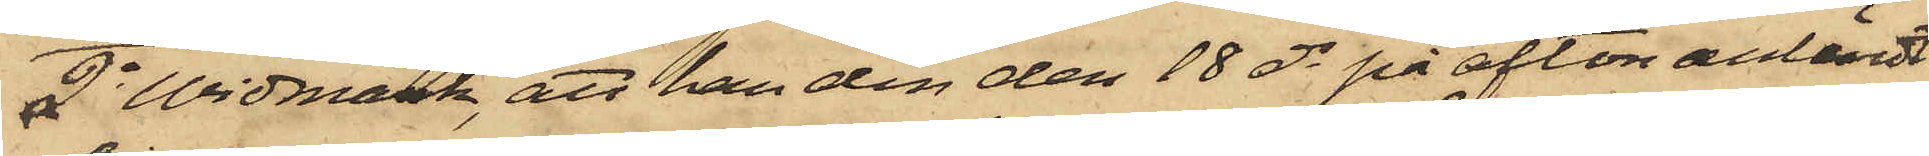2o Widmark, att han den den 18 ds på afton anländt
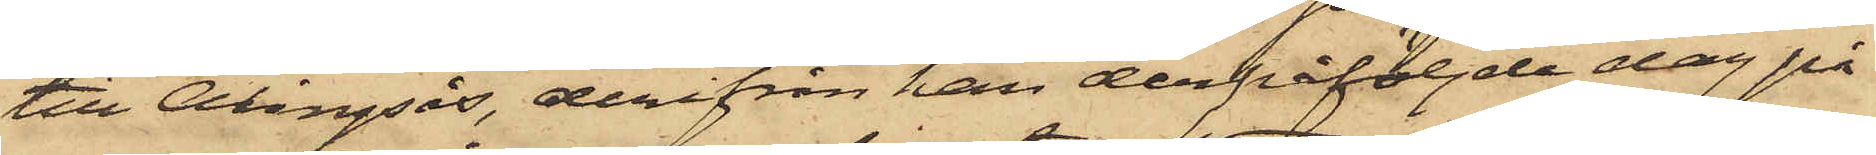till Alingsås, derifrån han derpåföljde dag på
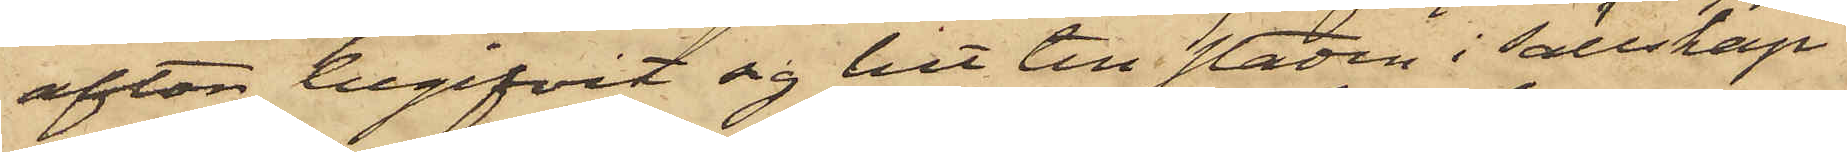afton begifvit sig hit till staden i sällskap
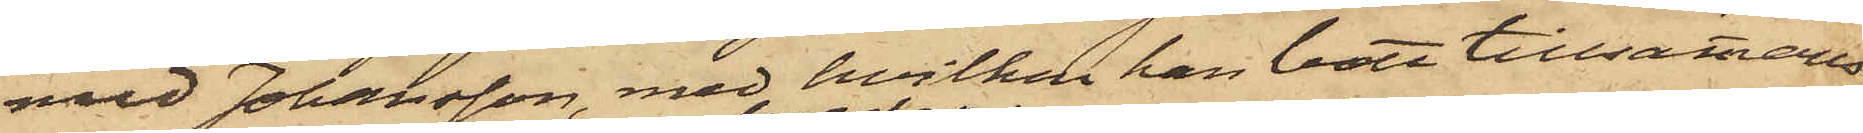med Johansson, med hvilken han bott tillsammans
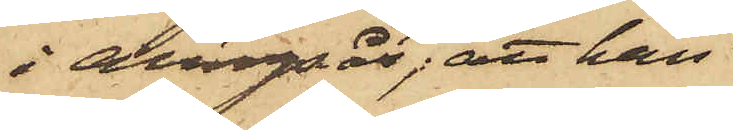i Alingsås; att han
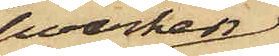hvarken
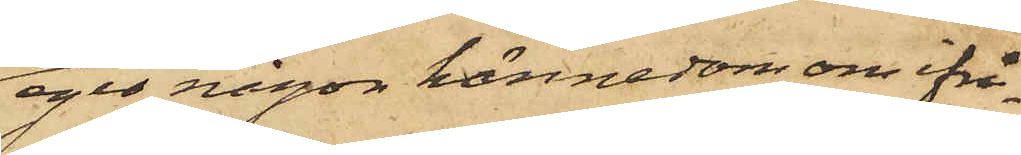eger någon kännedom om ifrå¬
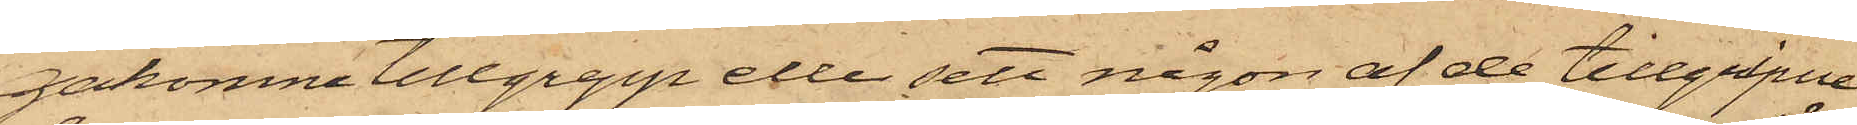gakomne tillgrepp eller sett någon af de tillgripne
